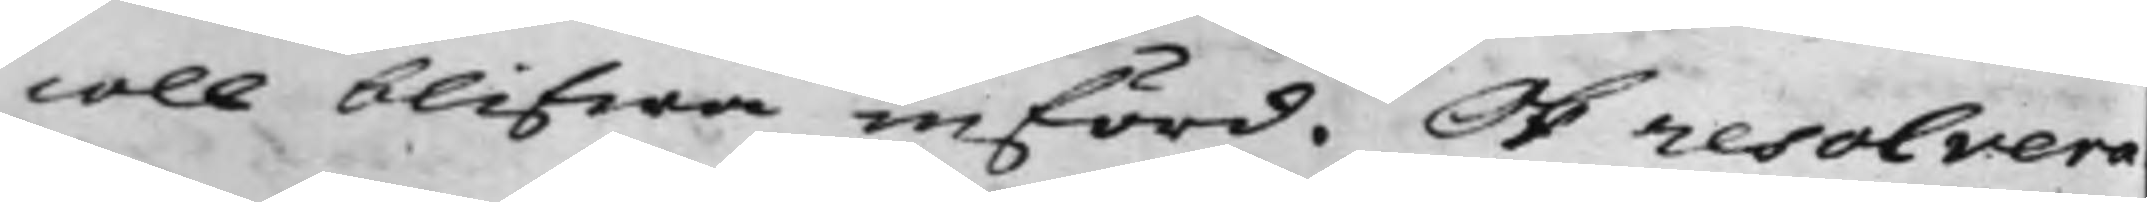coll blifwa införd. Och resolvera¬
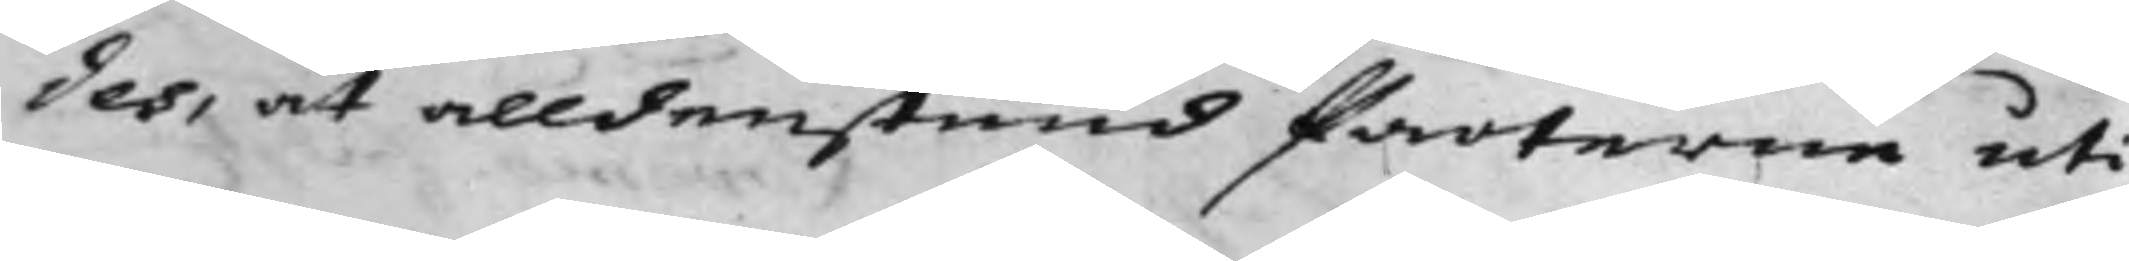des, at alldenstund Parterne uti
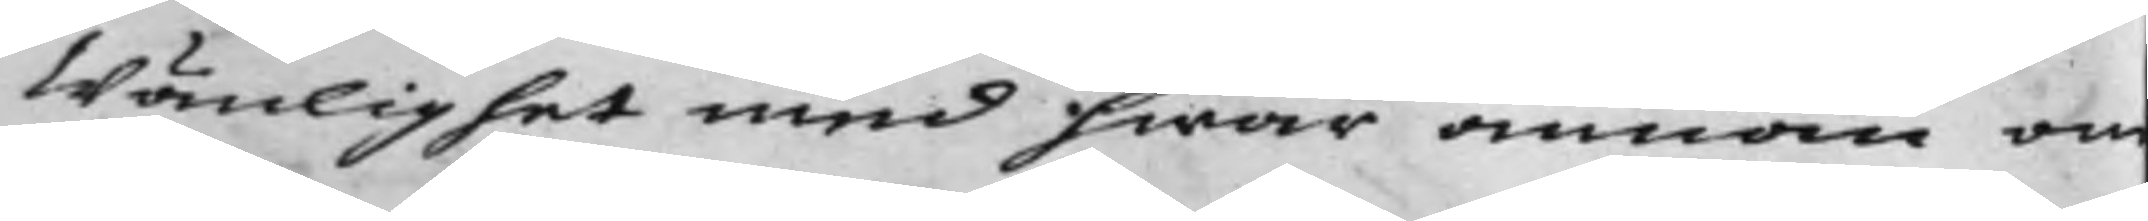Wänlighet med hwar annan om
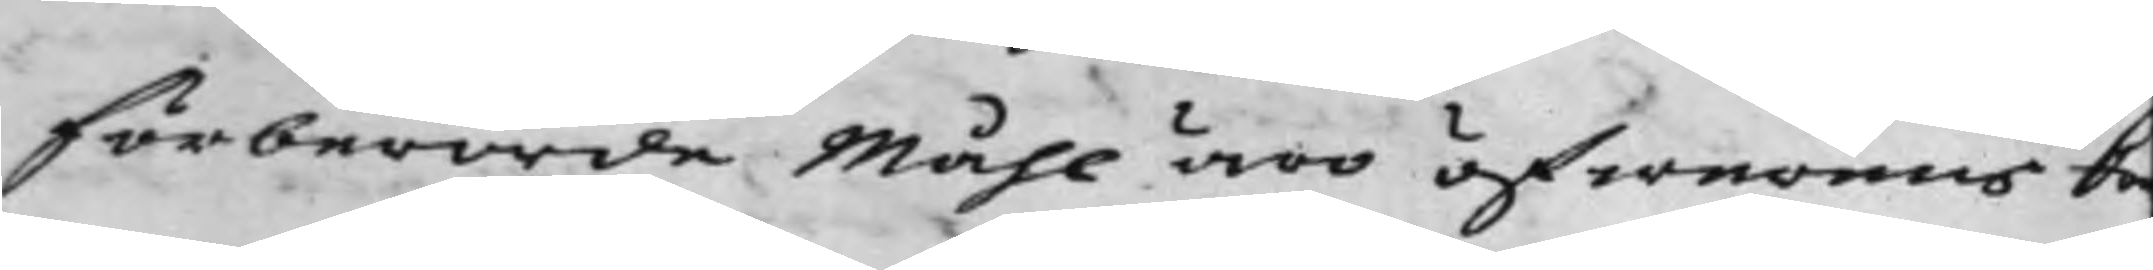förberörde Måhl äro öfwerens ko¬
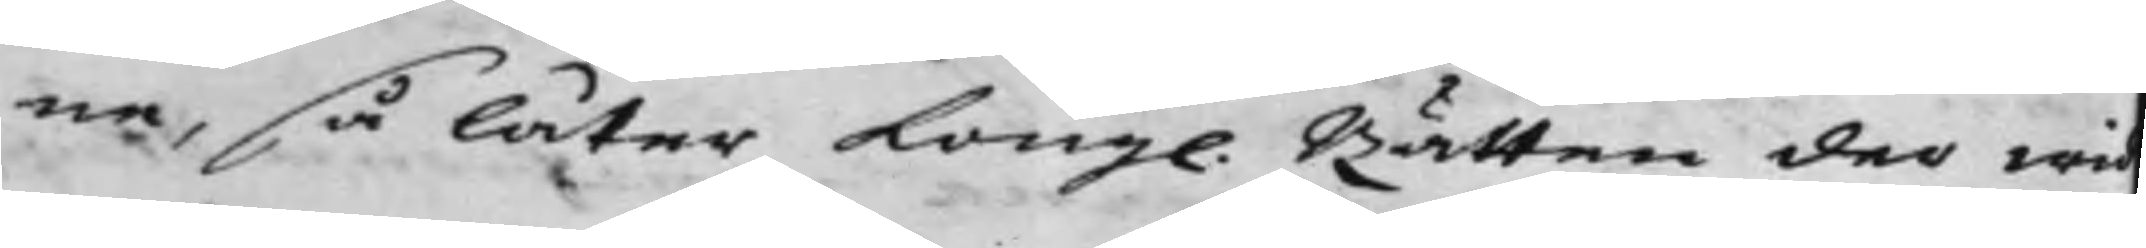ne, så låter Kong. Rätten der wid
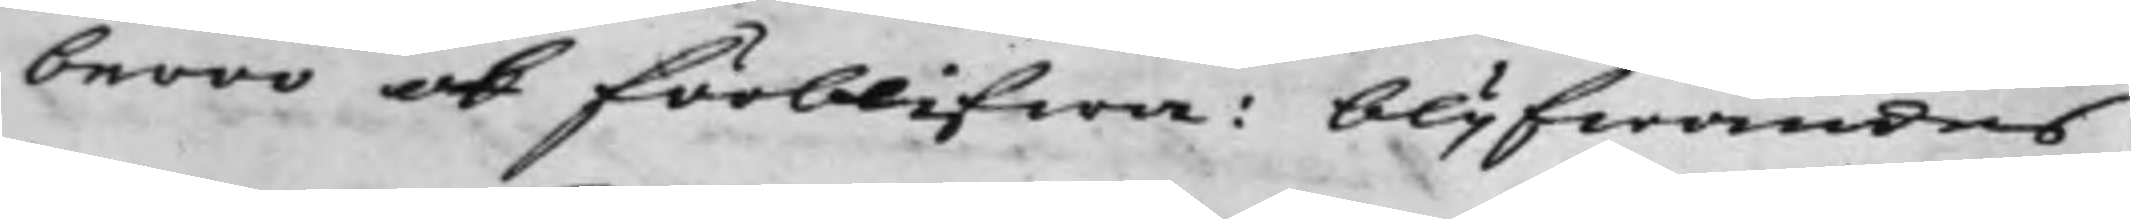beroo och förblifwa: blijfwandes
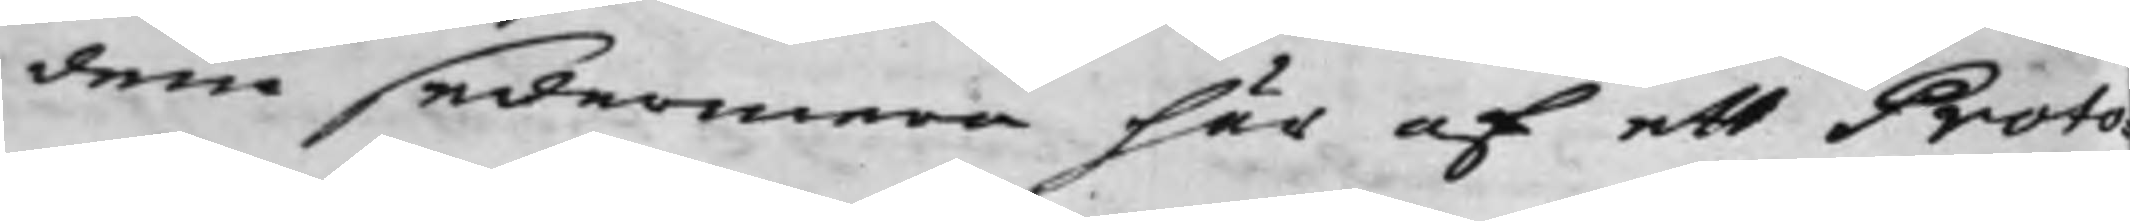dem sedermera här af ett Proto¬
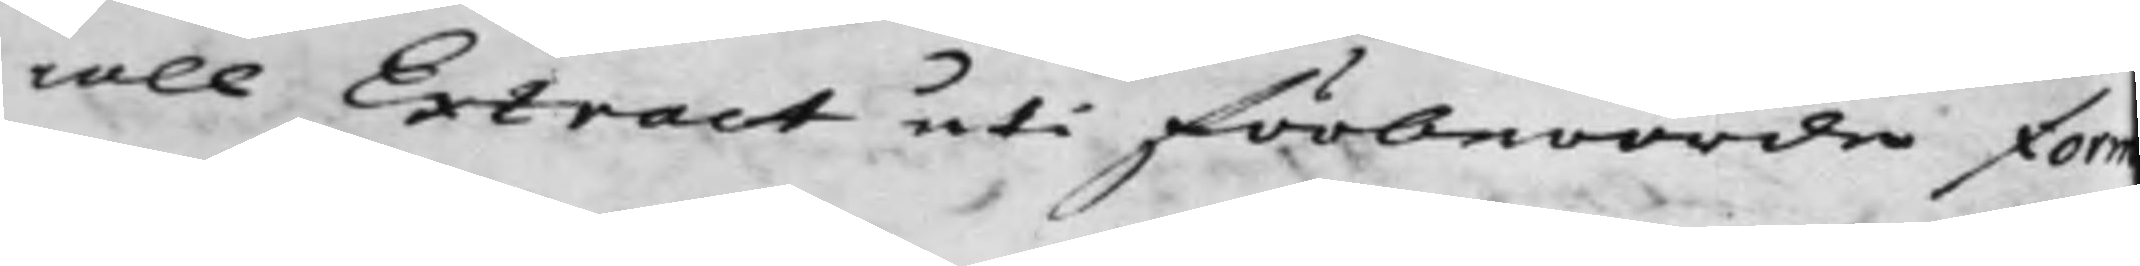coll Extract uti förberörde form
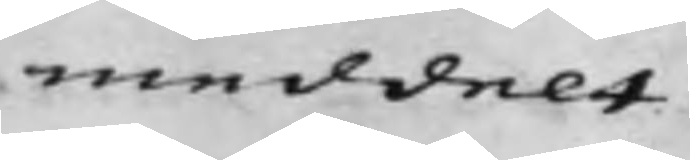meddelt.
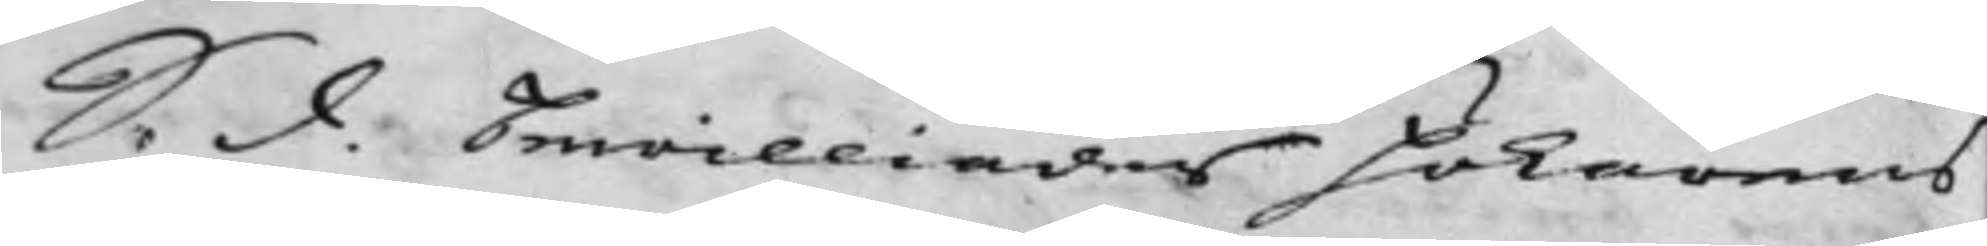S. d. Bewilliades Hökarens
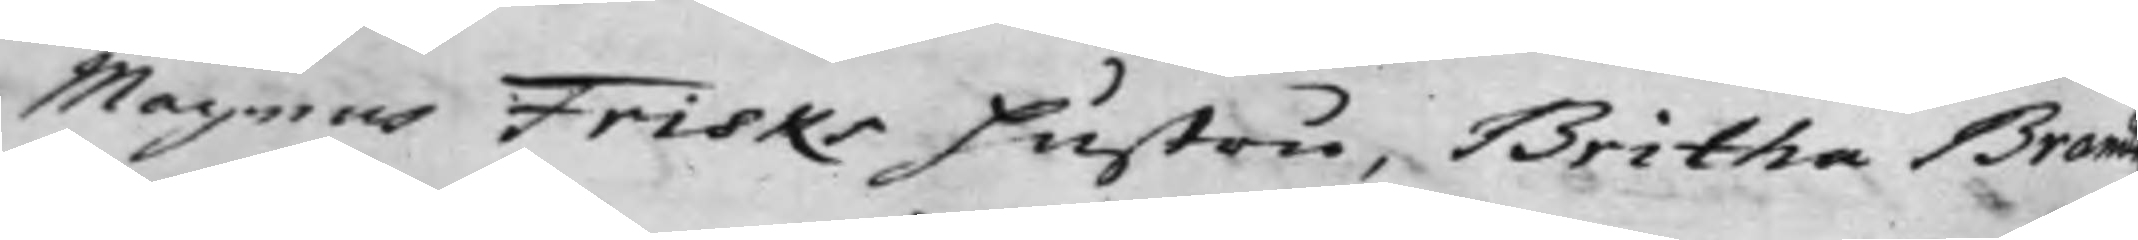Magnus Frisks Hustru, Britha Brand
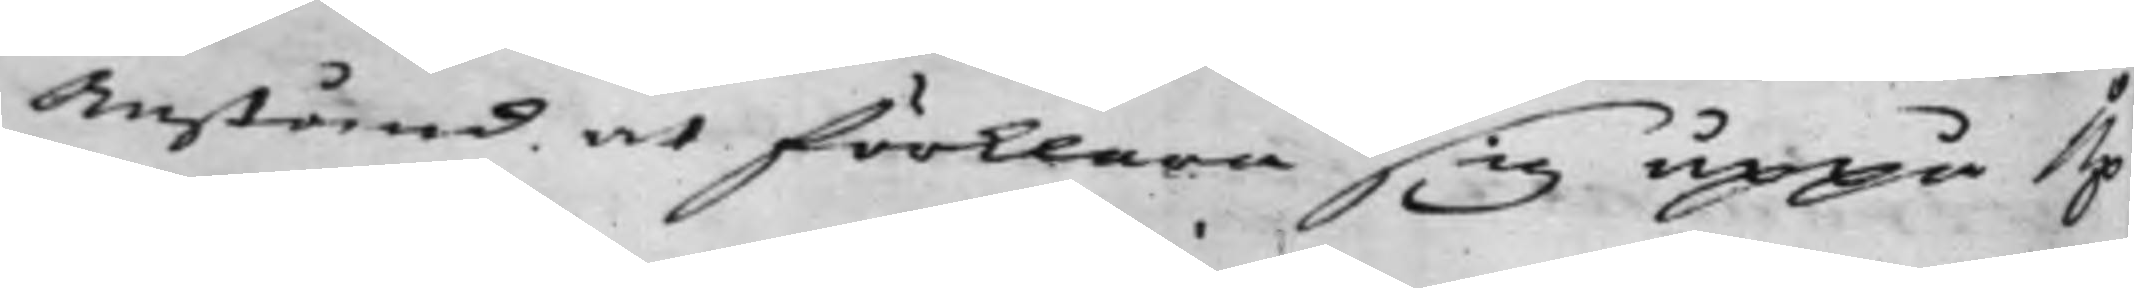Anstånd at förklara sig uppå Up¬
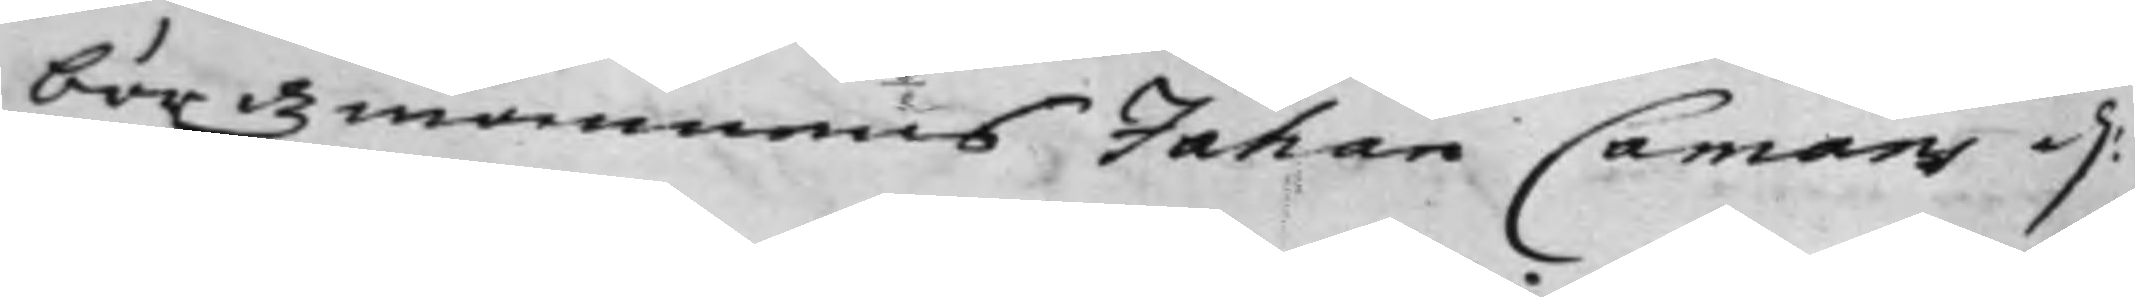bördzmannens Jahan Camans d:
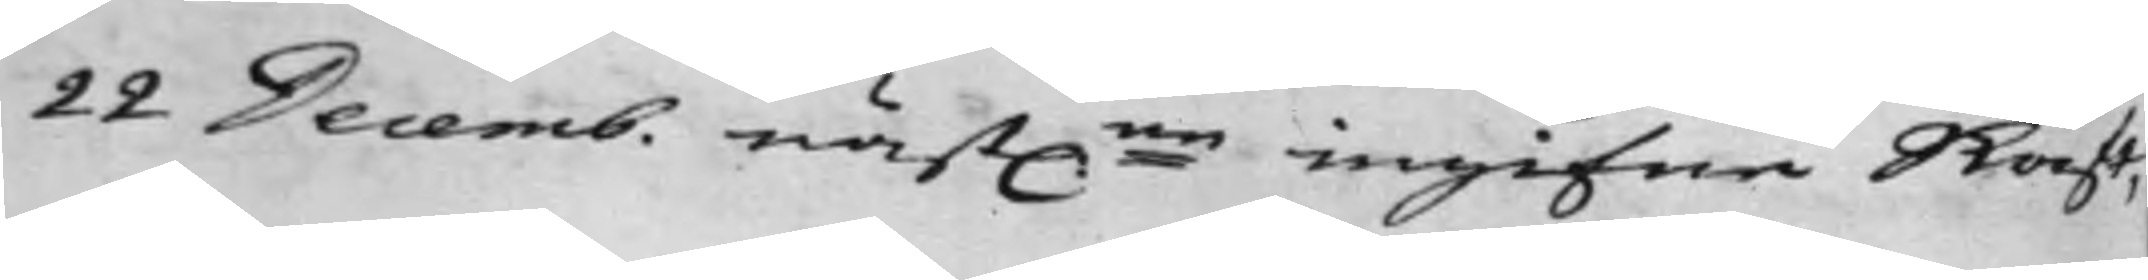22 Decemb. näst:ne ingifne Skrift,
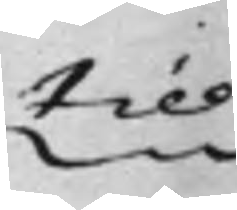till
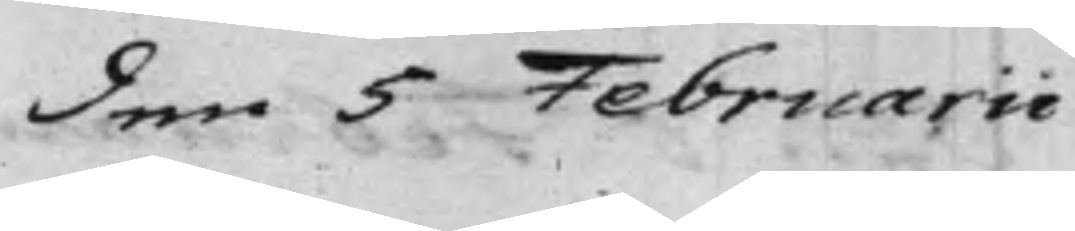den 5 Februarii.
